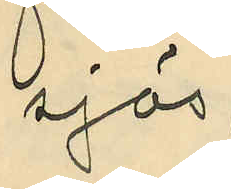sjös;
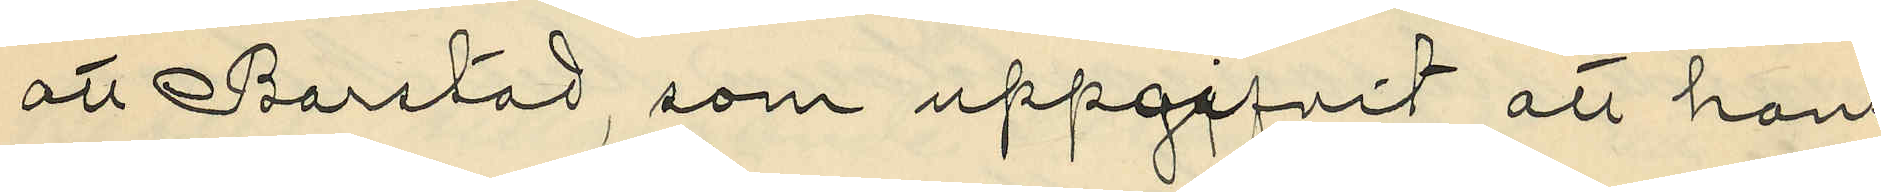att Barstad, som uppgifvit att hans
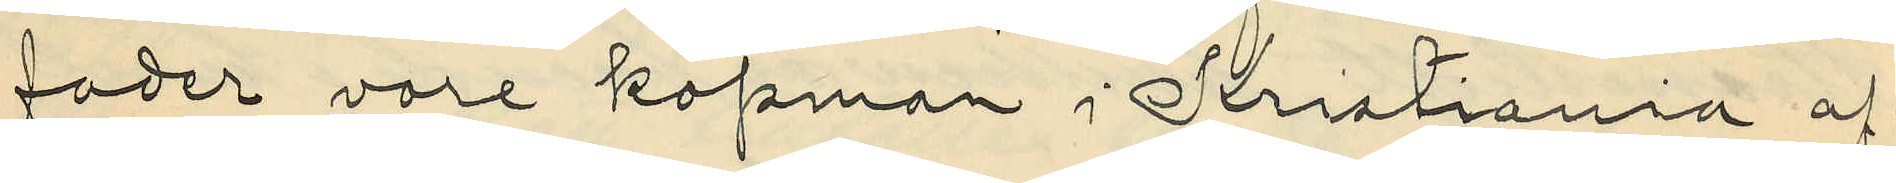fader vore köpman i Kristiania af¬
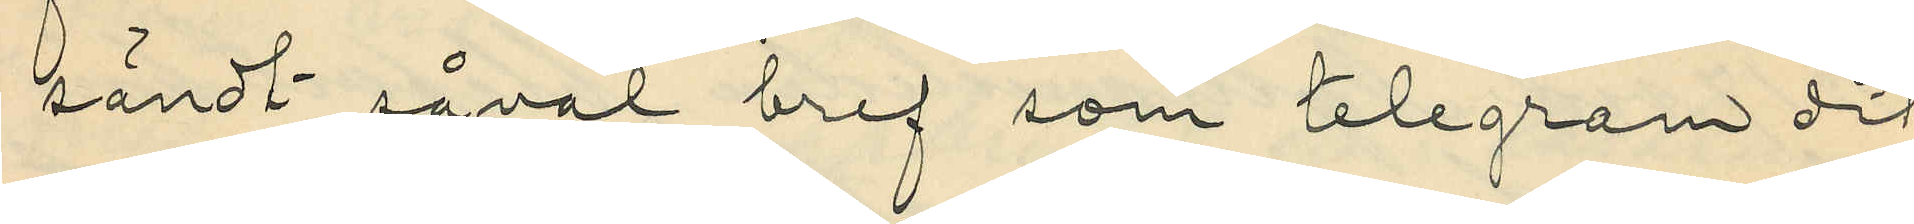sändt såväl bref som telegram dit
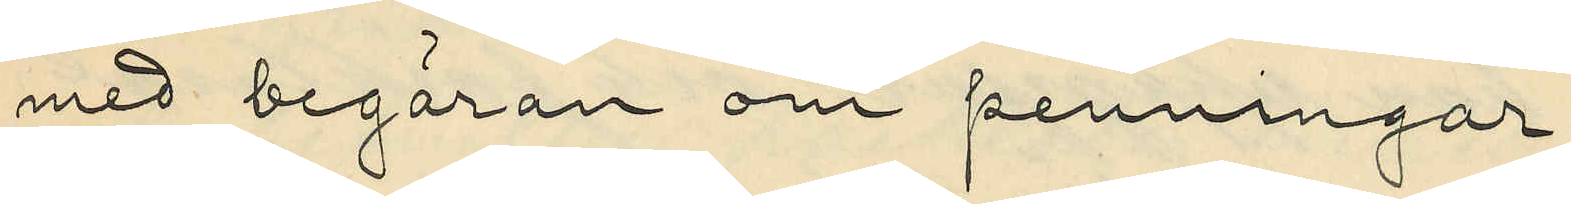med begäran om penningar;
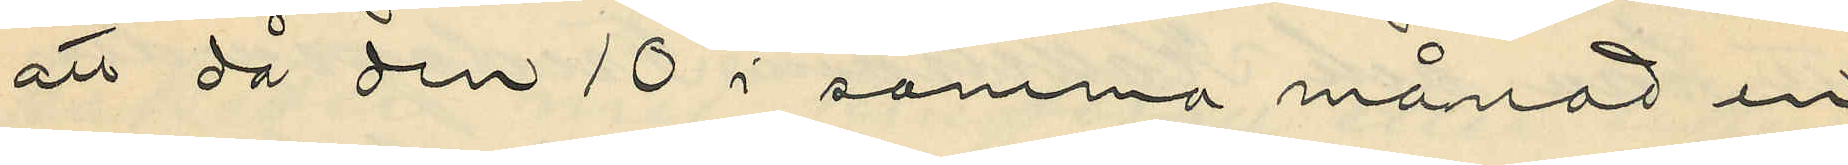att då den 10 i samma månad en
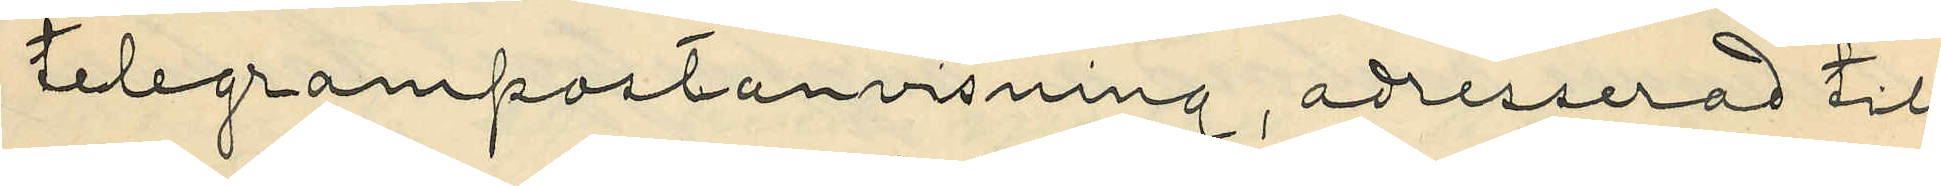telegrampostanvisning, adresserad till
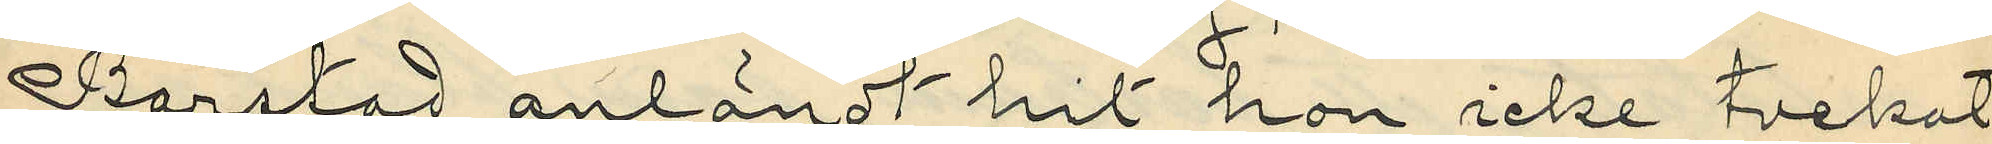Barstad anländt hit hon icke tvekat
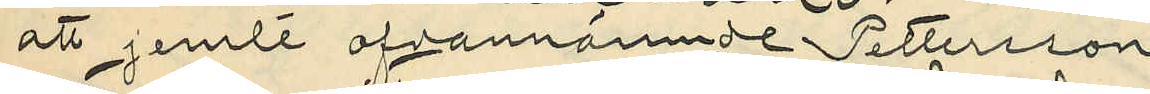att jemte ofvannämnde Pettersson
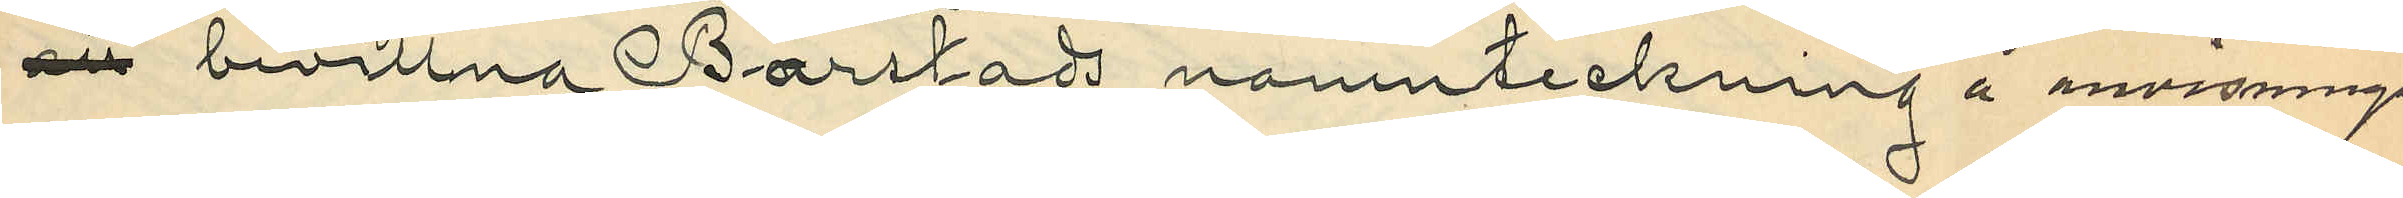att bevittna Barstads namnteckning å anvisningen
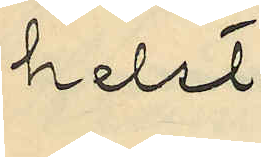helst
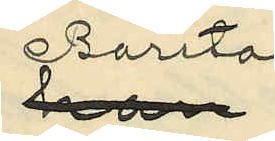han Barstad
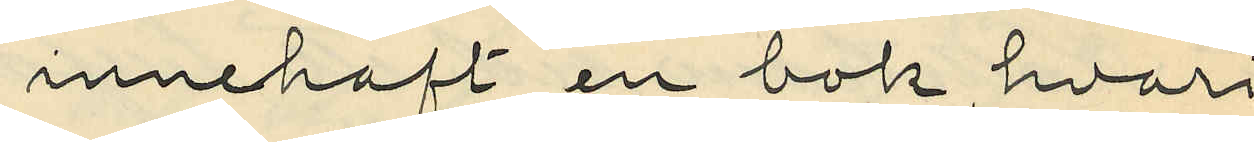innehaft en bok, hvari
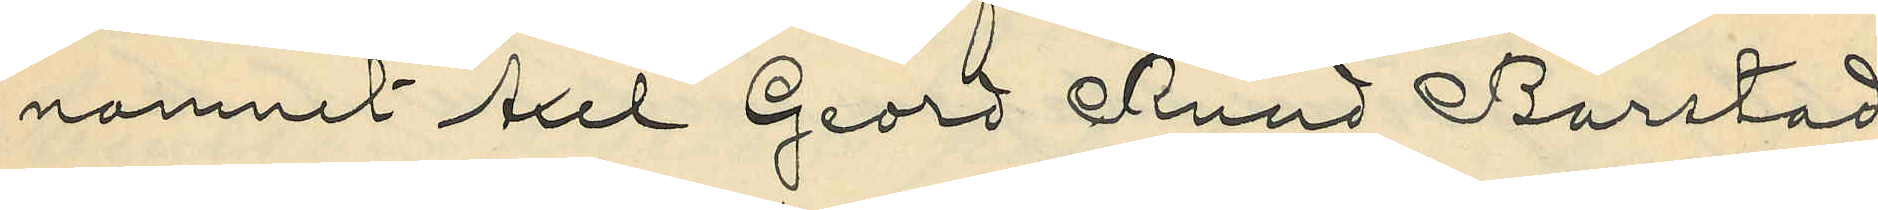namnet Axel Geord Ruud Barstad
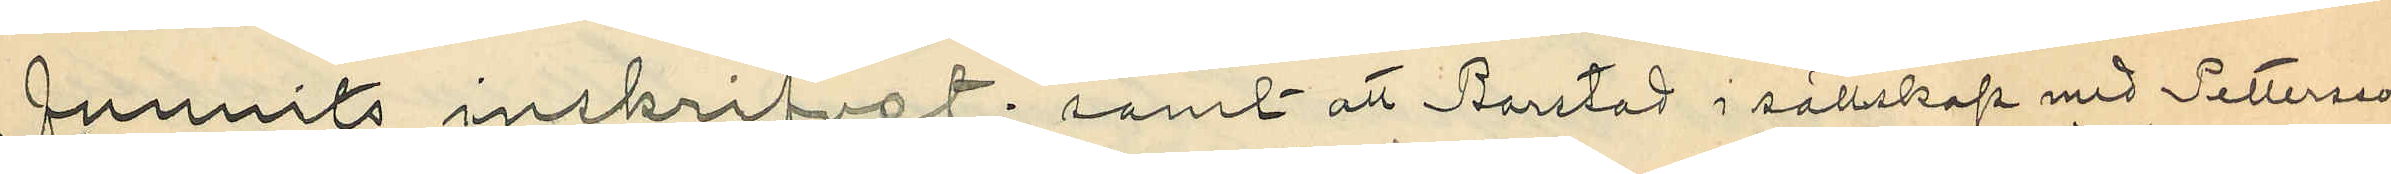funnits inskrifvet; samt att Barstad i sällskap med Pettersson
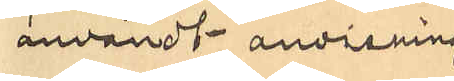användt anvisnings¬
